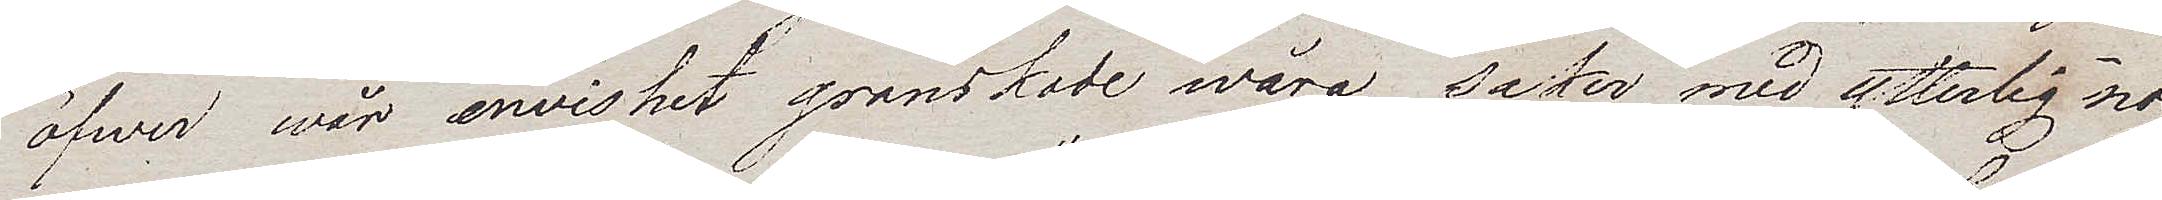öfwer wår envishet granskade wåra saker med ytterlig nog¬
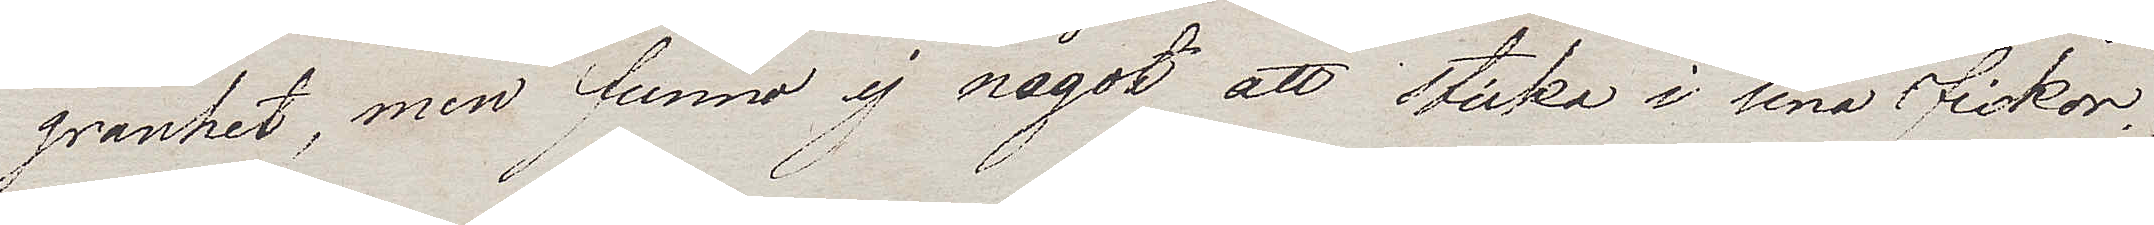granhet, men funno ej något att sticka i sina fickor.
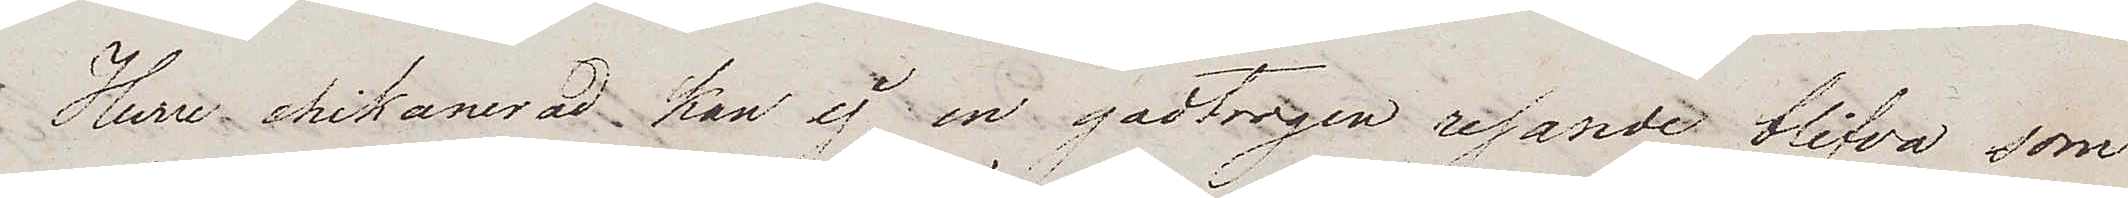Huru chikanerad kan ej en godtrogen resande blifva som
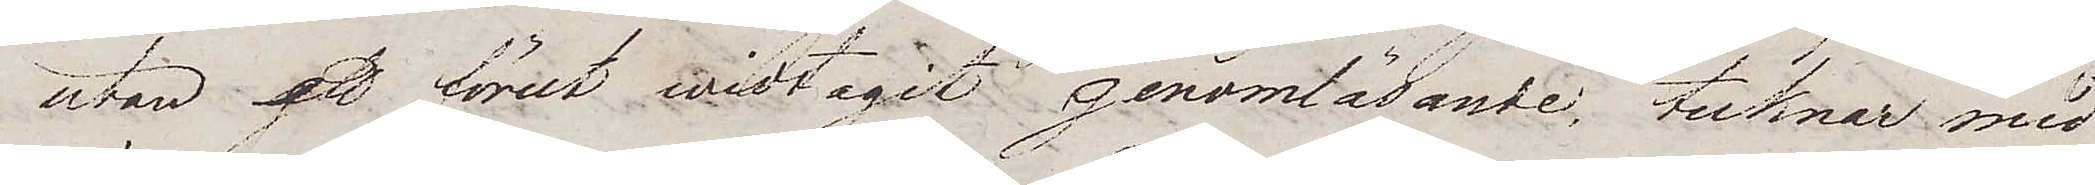utan att förut widtagit genomläsande, tecknar med
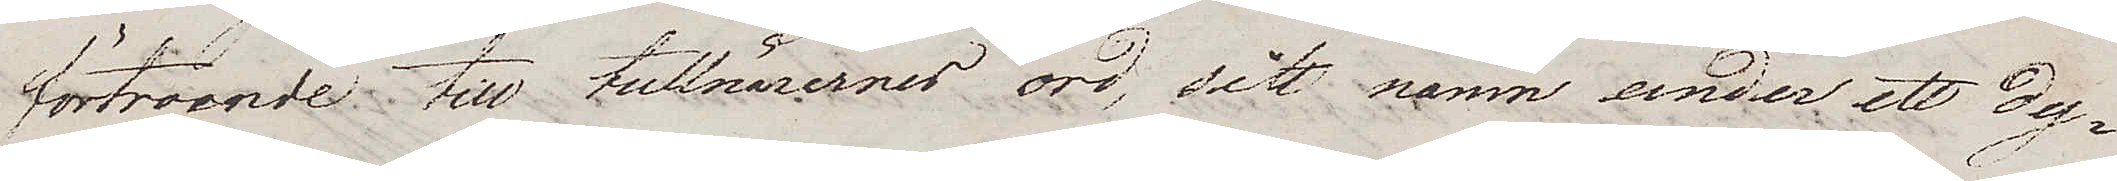förtroende till tullnärernes ord, sitt namn under ett dy¬
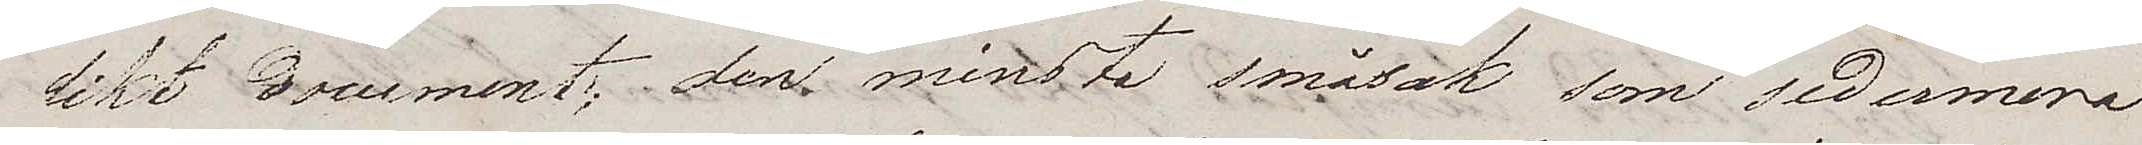likt document; den minsta småsak som sedermera
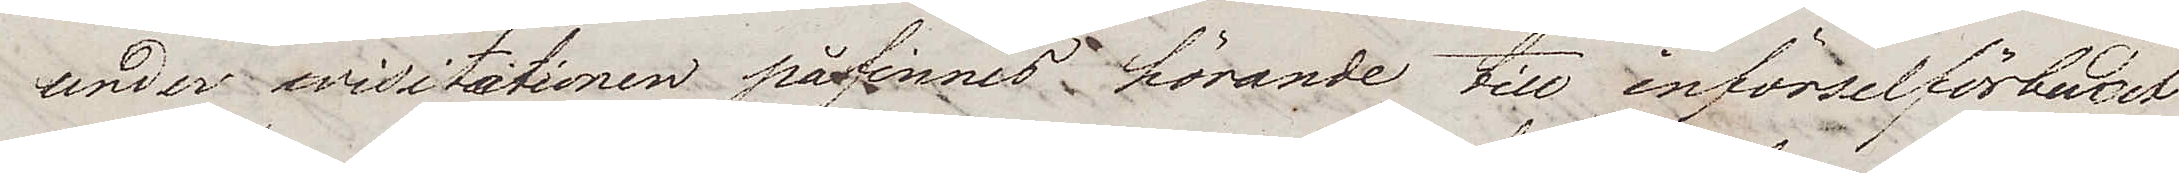under wisitationen påfinnes hörande till införselförbudet
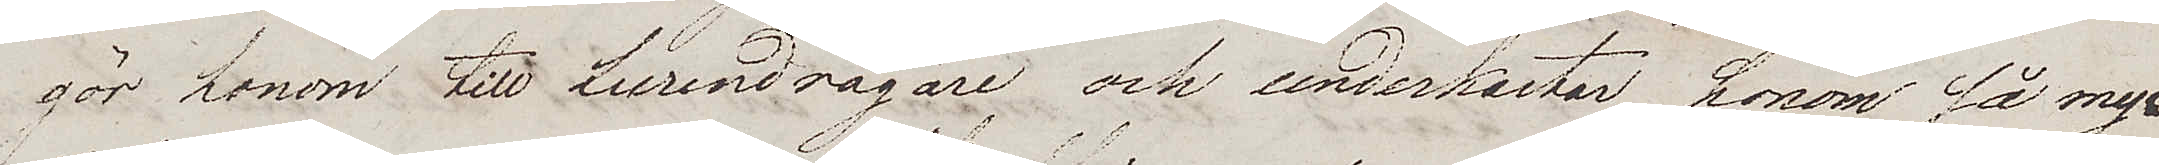för honom till Lurendrägare och underkastar honom så myc¬
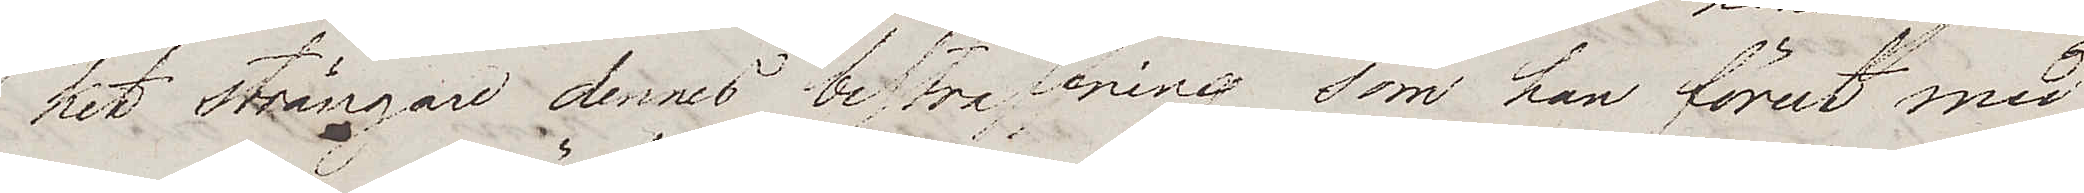ket strängare dennes bestraffning som han förut med
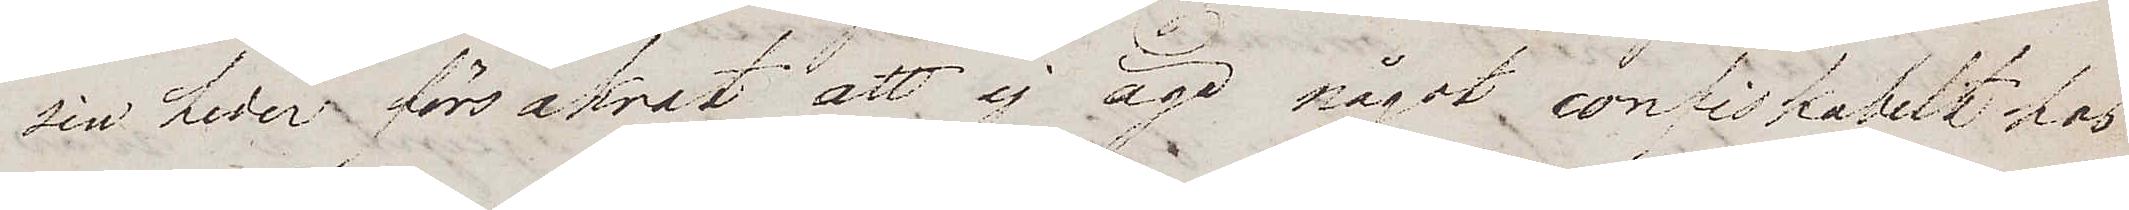sin heder försäkrat att ej äga något confiskabelt hos
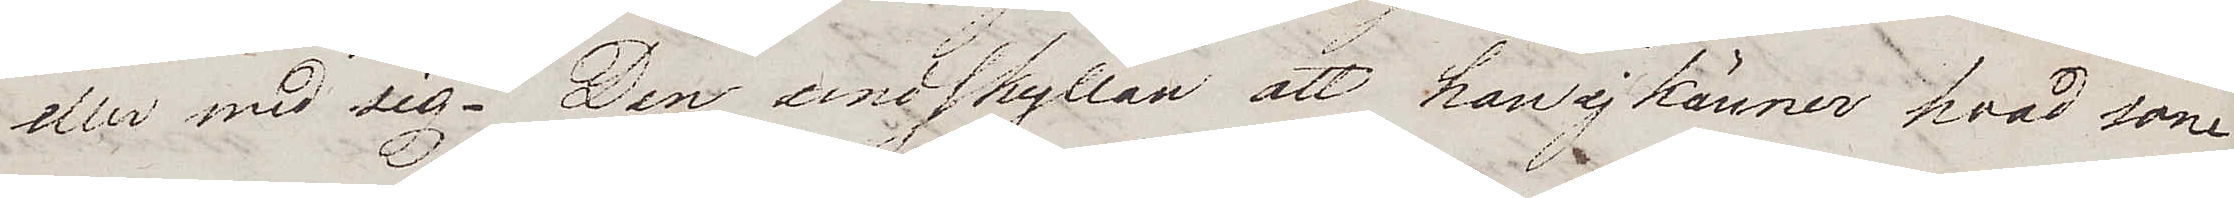eller med sig. Den undskyllan att han ej känner hvad som
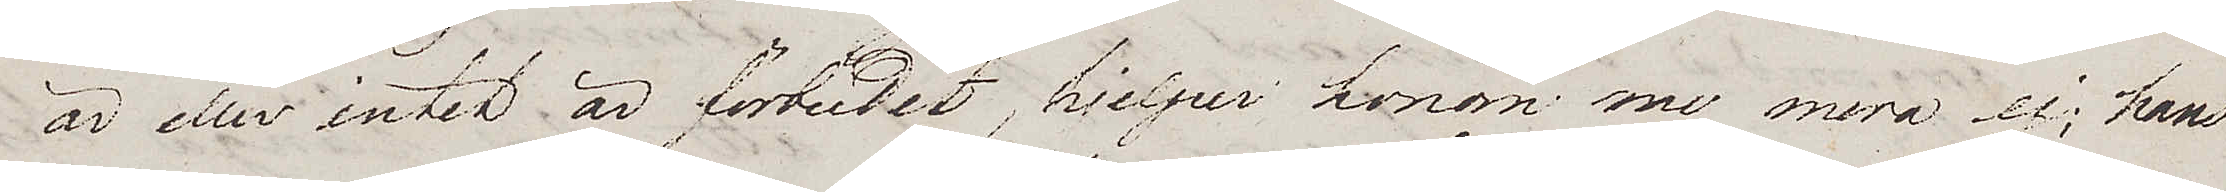är eller intet är förbudet, hjelper honom nu mera ej; hans
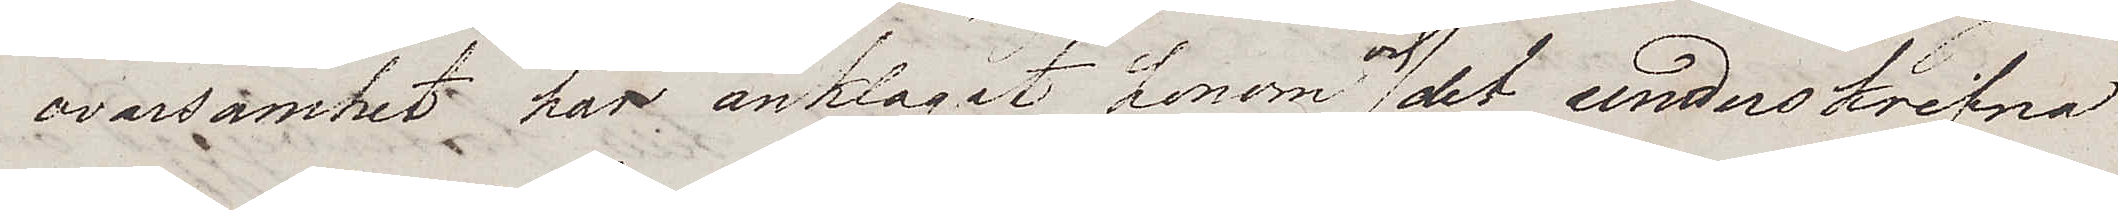ovarsamhet har anklagat honom och det underskrifna
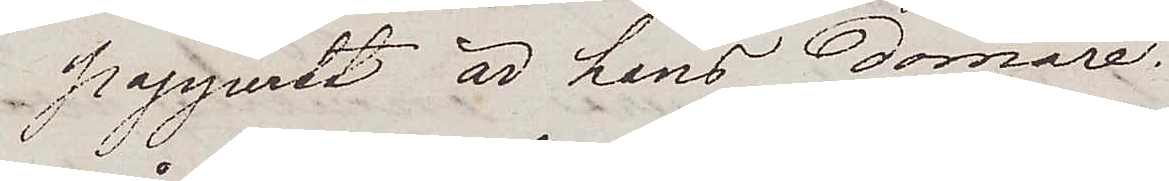papperet är hans domare.
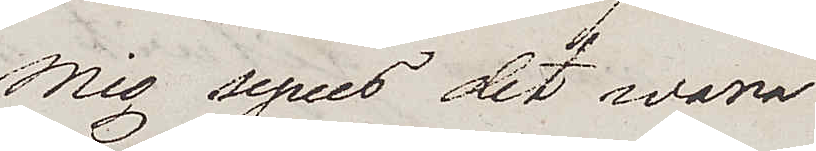Mig synes det wara
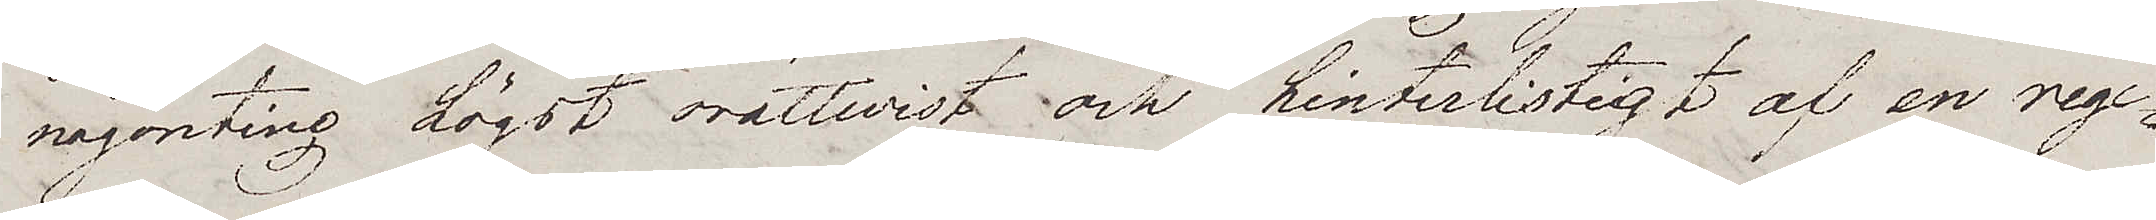någonting högst orättwist och hinterlistigt af en rege¬
